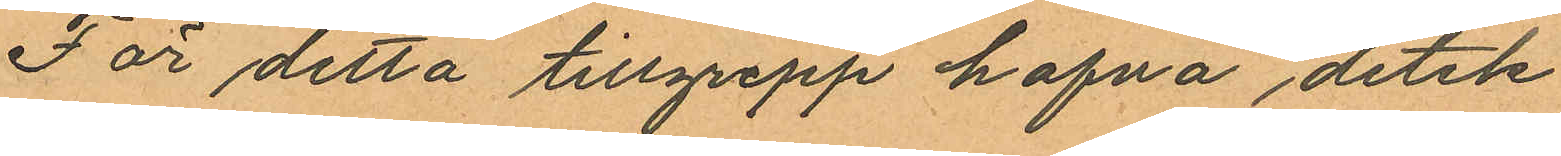För detta tillgrepp hafva detek¬
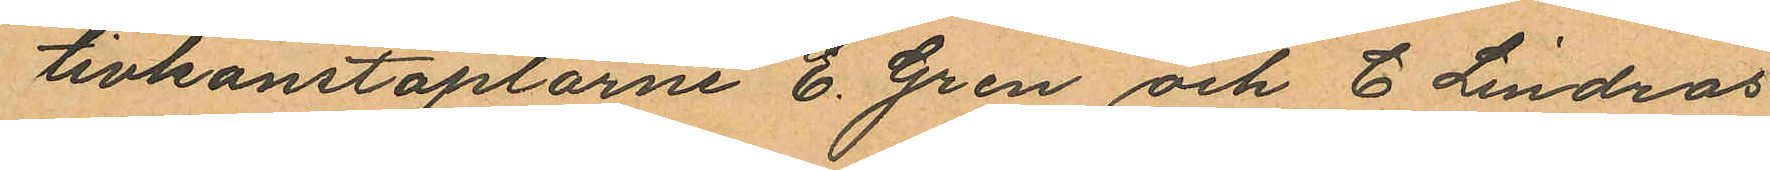tivkonstaplarne E. Gren och C. Lindros
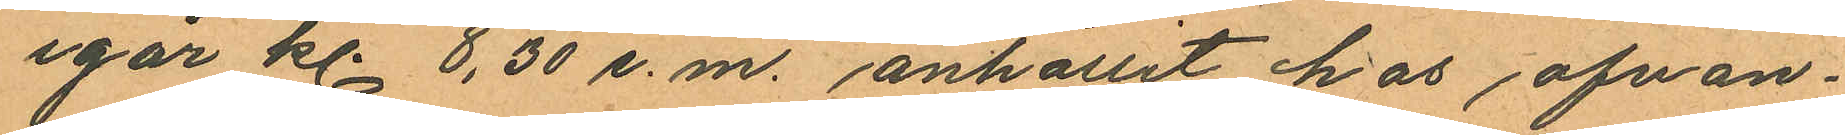igår kl. 8,30 e.m. anhållit hos, ofvan¬
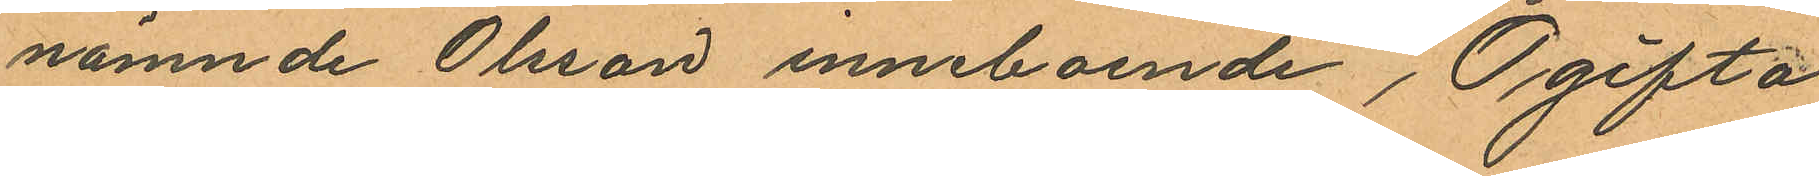nämnde Olsson inneboende, Ogifta
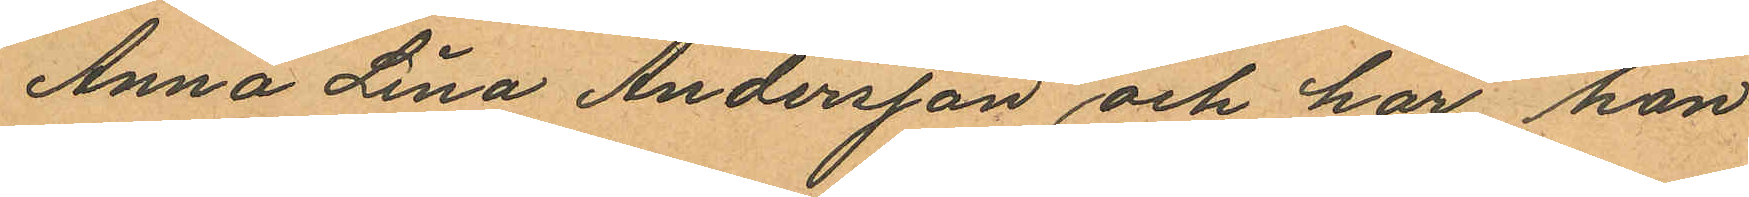Anna Lina Andersson och har hon
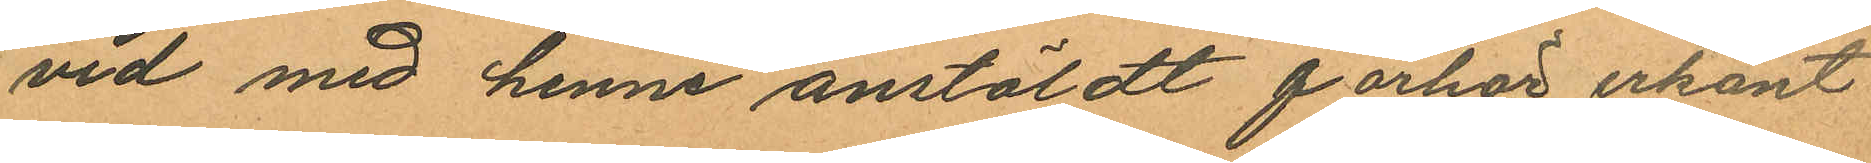vid med henne anstäldt förhör erkänt
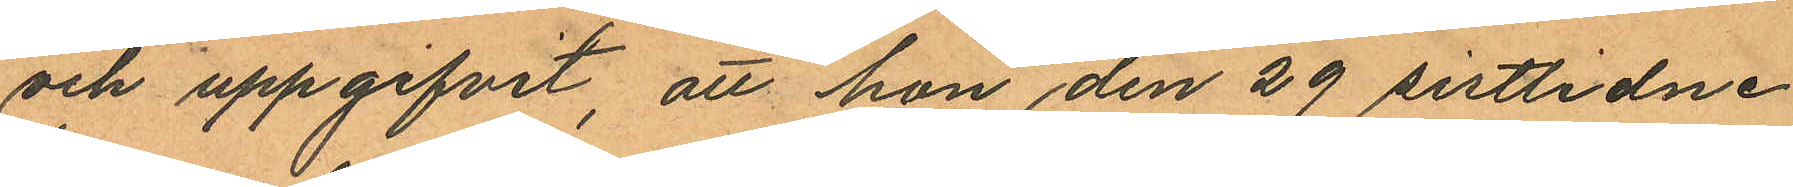och uppgifvit, att hon den 29 sistlidne
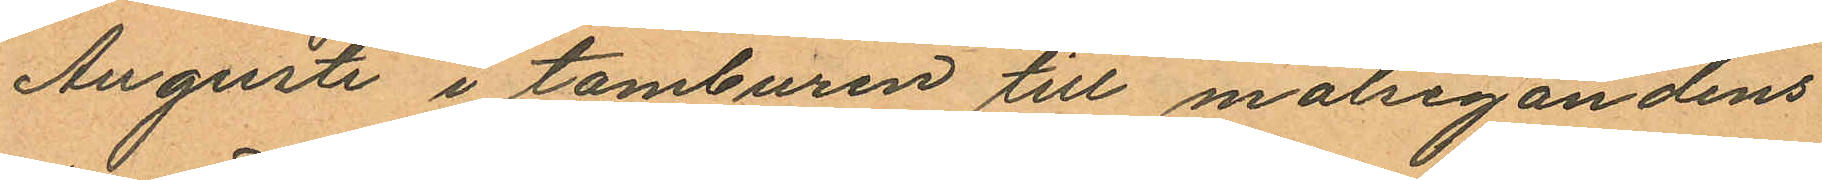Augusti i tamburen till målsegandens
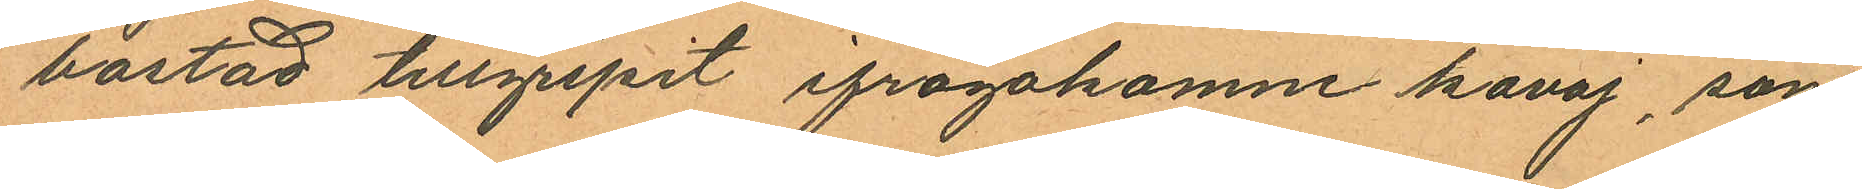bostad tillgripit ifrågakomne kavaj, som
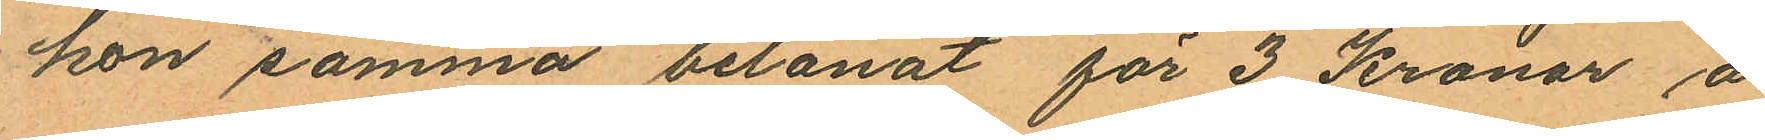hon samma belånat för 3 Kronor å
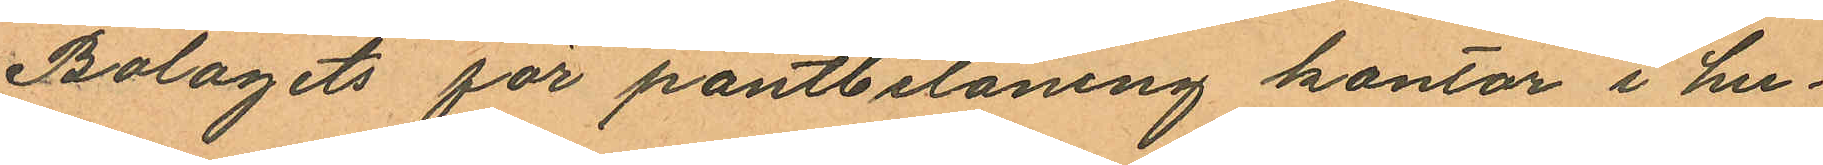Bolagets för pantbelåning kontor i hu¬
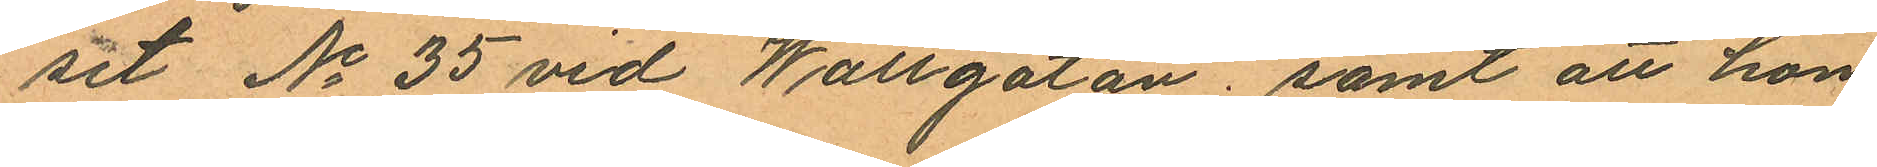set No 35 vid Wallgatan; samt att hon
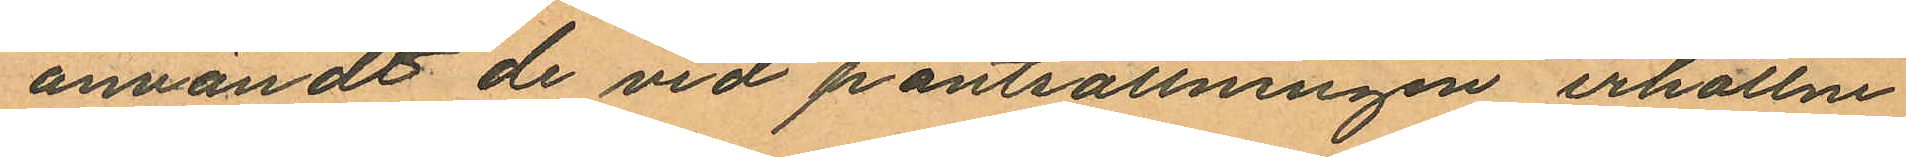användt de vid pantsättningen erhållne
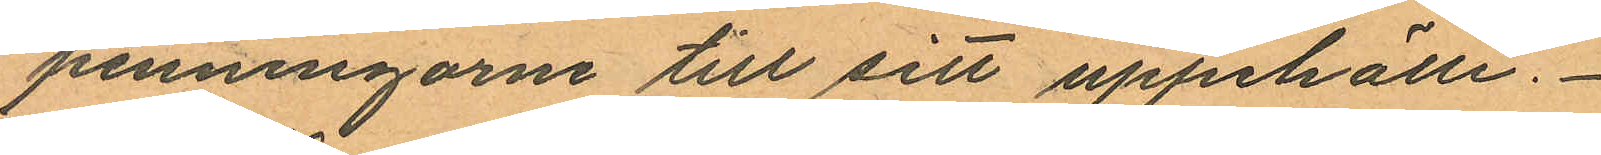penningarne till sitt uppehälle.
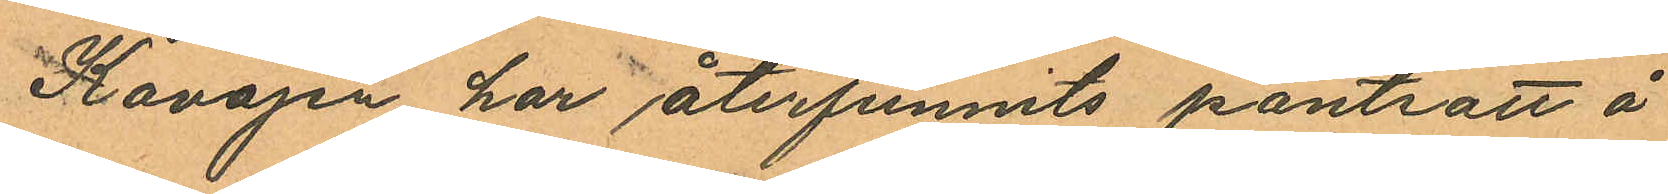Kavajen har återfunnits pantsatt å
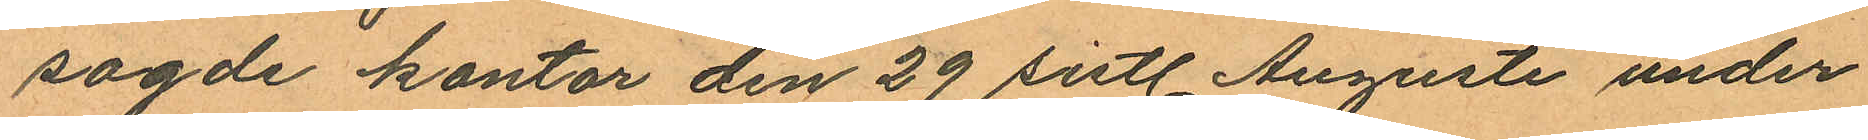sagde kontor den 29 sistl. Augusti under
